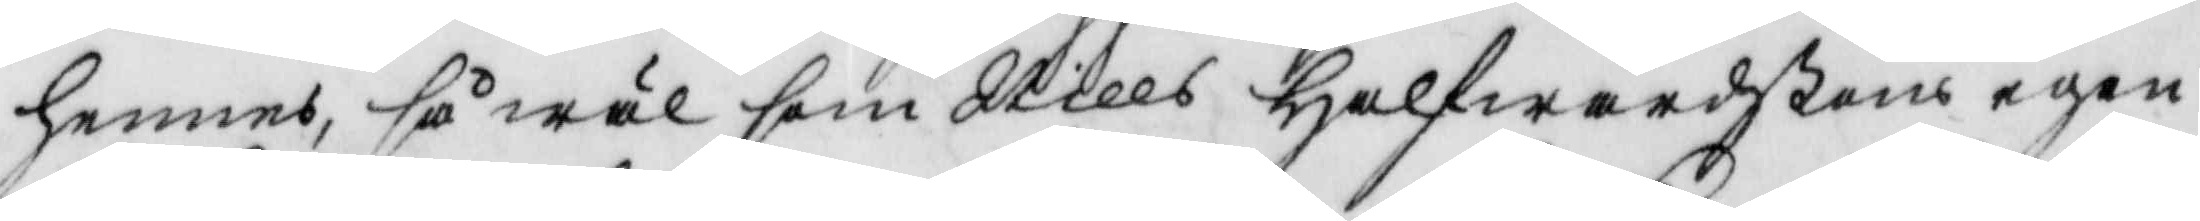hennes, så wäl som Nills Halfwardßons egen
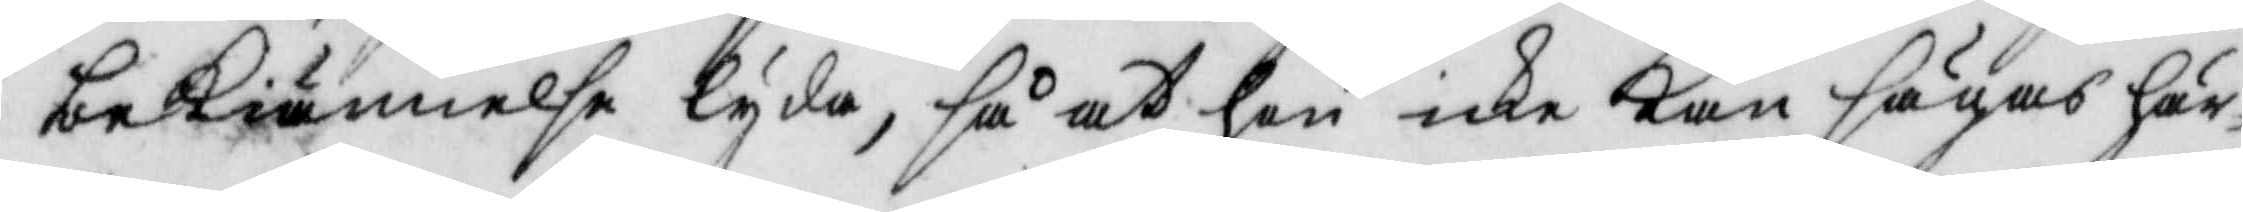bekiännelse lyda, så at hon icke kan sägas här¬
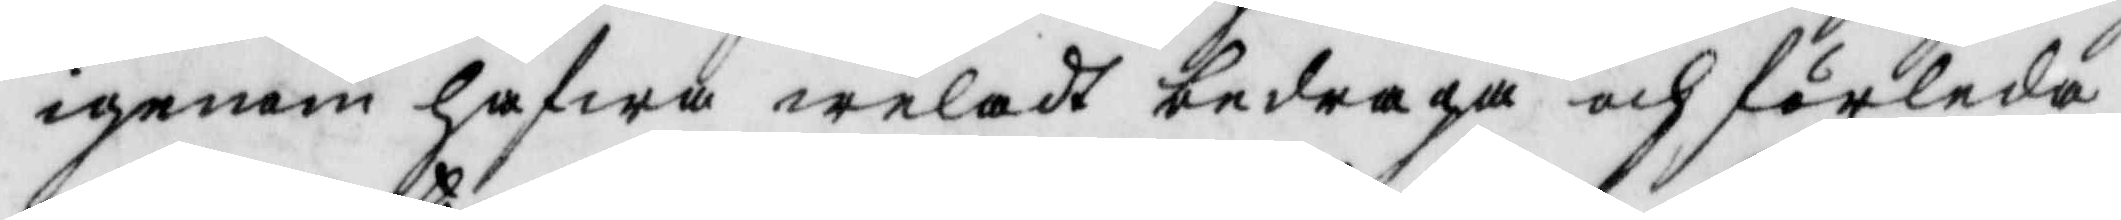igenom hfwa welat bedraga och förleda
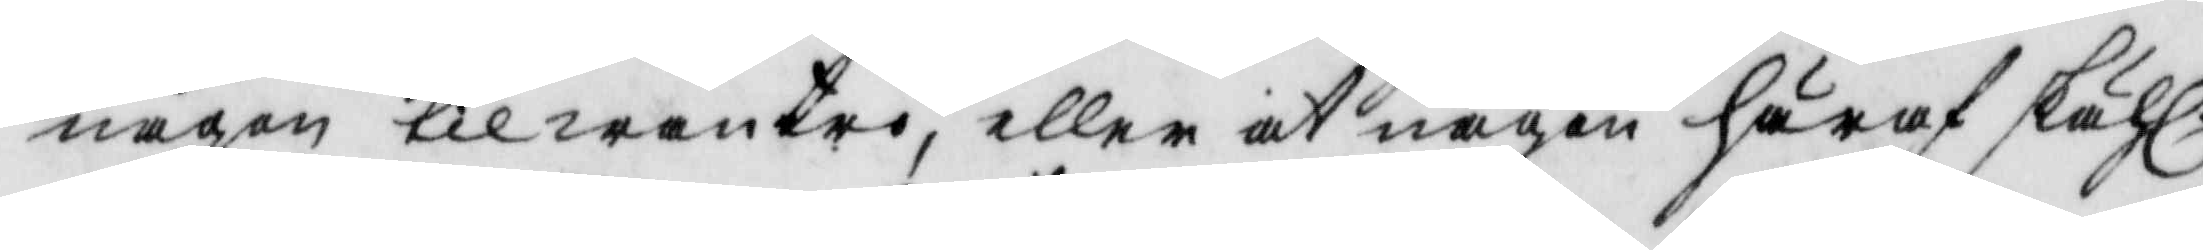någon til wantro, eller at någon häraf skähl:
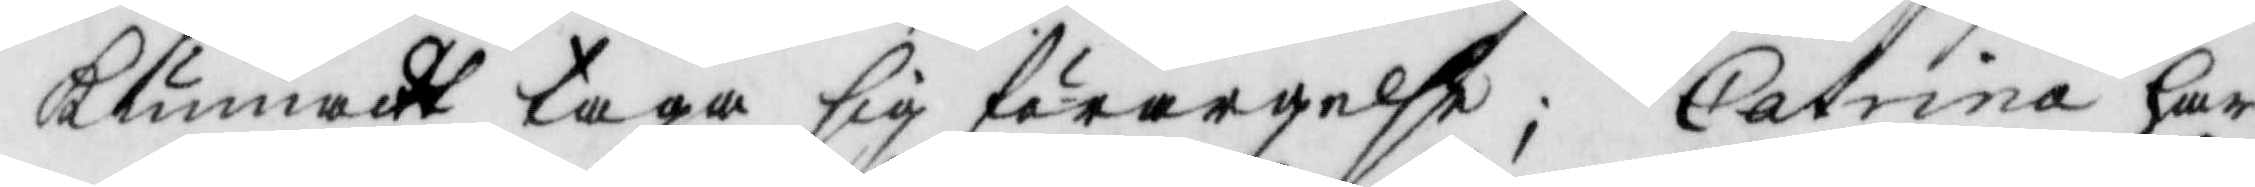kunnat taga sig förargelse; Catrina har
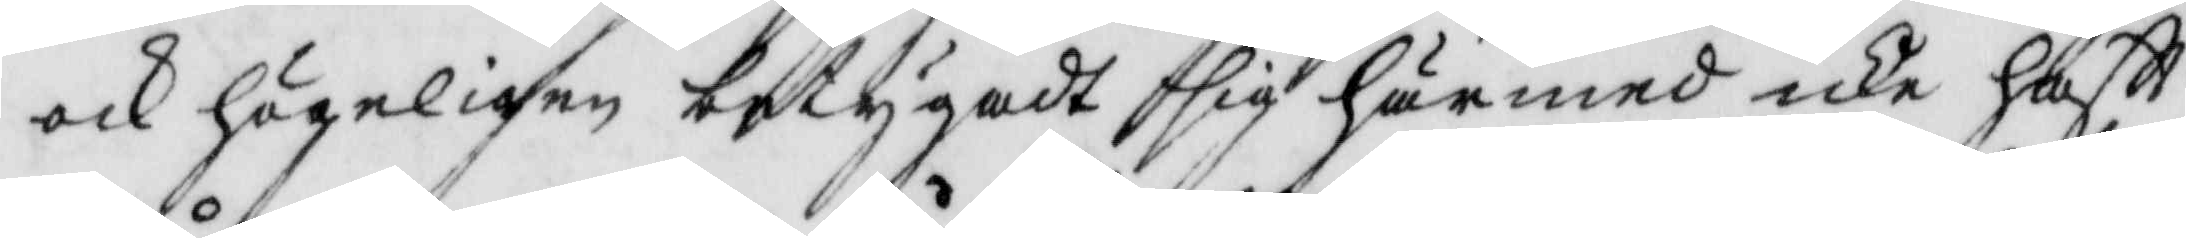ock högeligen betygadt sig härmed icke haftt
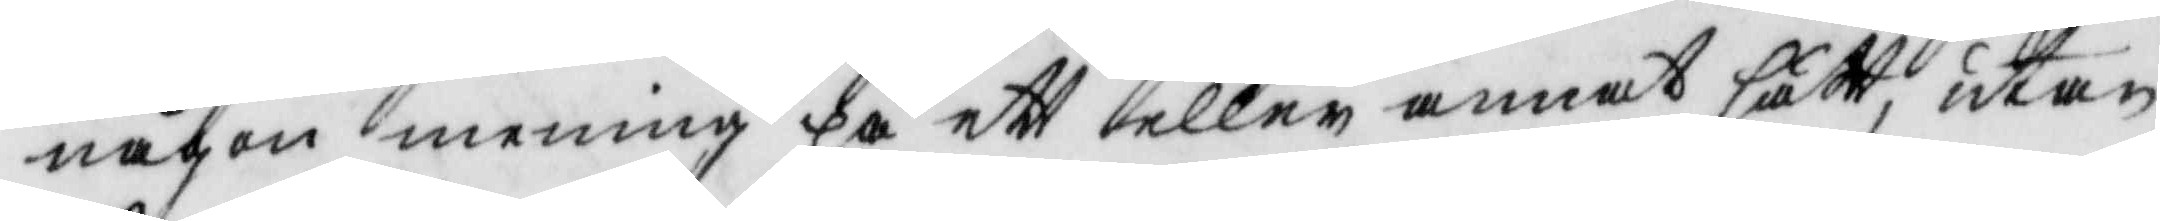någon mening på ett eller annat sätt, utan
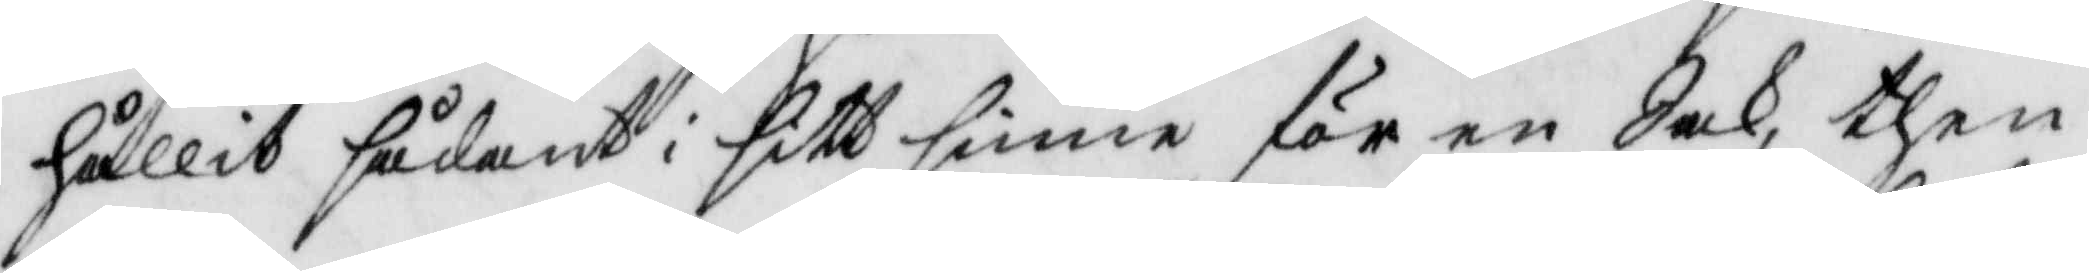hållit sådant i sitt sinne för en Sak, them
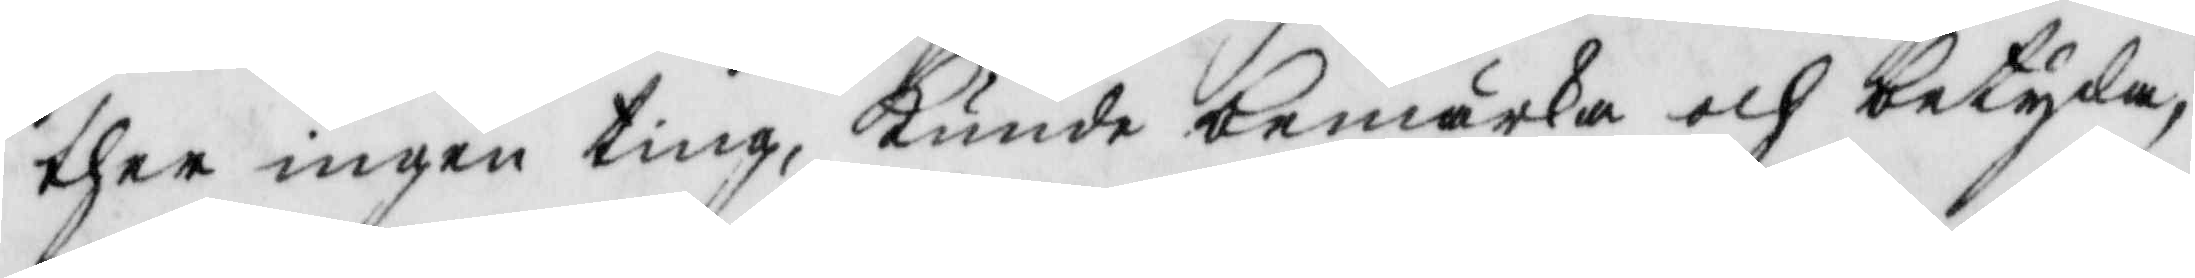ther ingen ting, kunde bemärka och betyda,
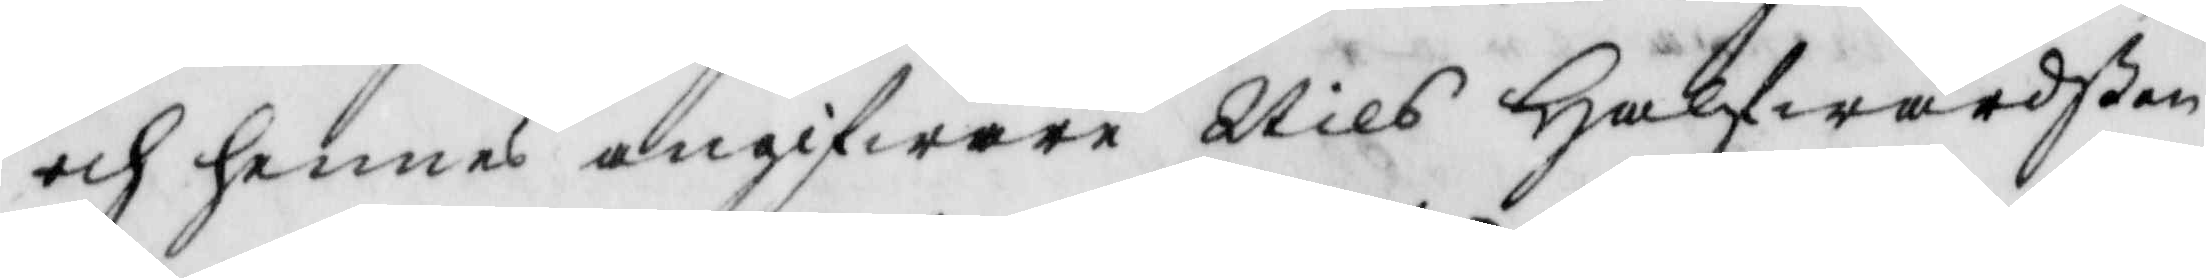och hennes angifware Nils Halfwardßon
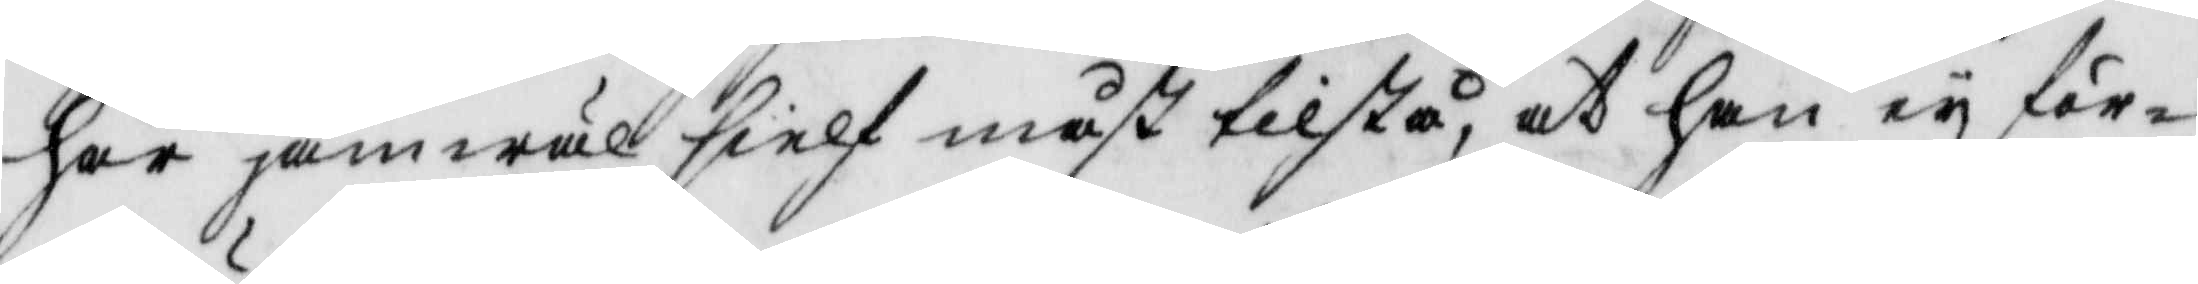har jämwäl sielf måst tilstå, at han ey för¬
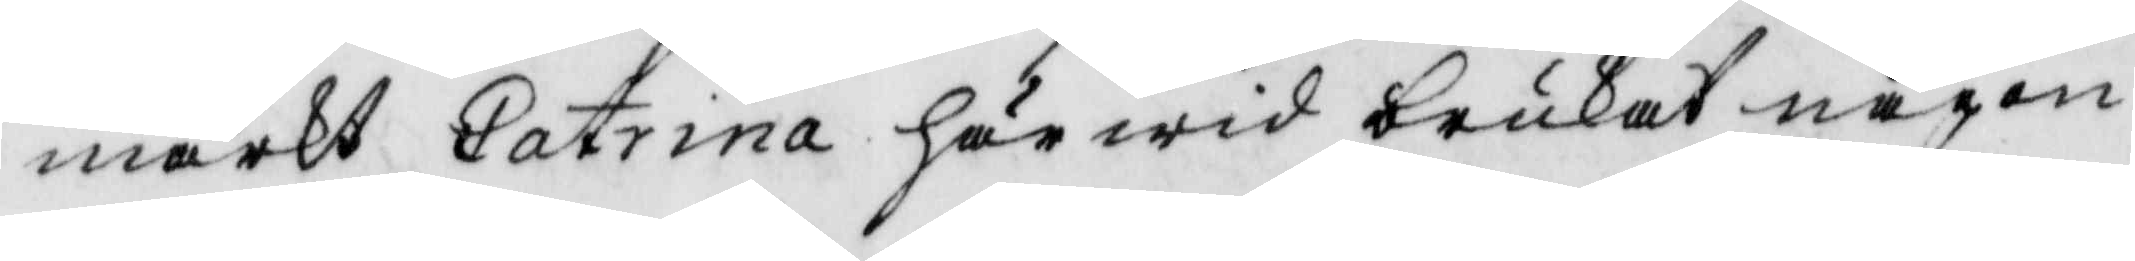märkt Catrina härwid brukat någon
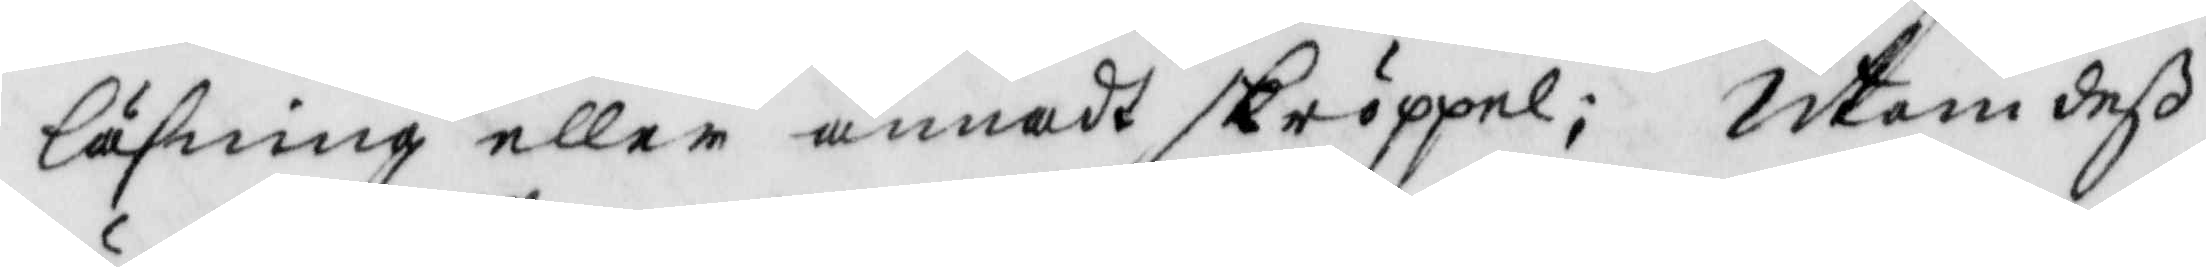läsning eller annat skröppel; Utan deß
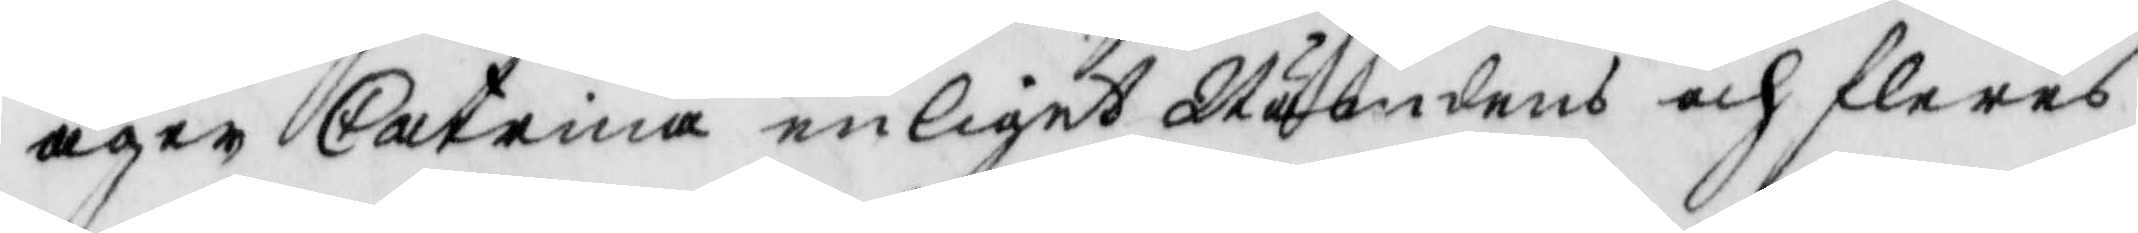äger Catrina enliget Nämdens och fleres
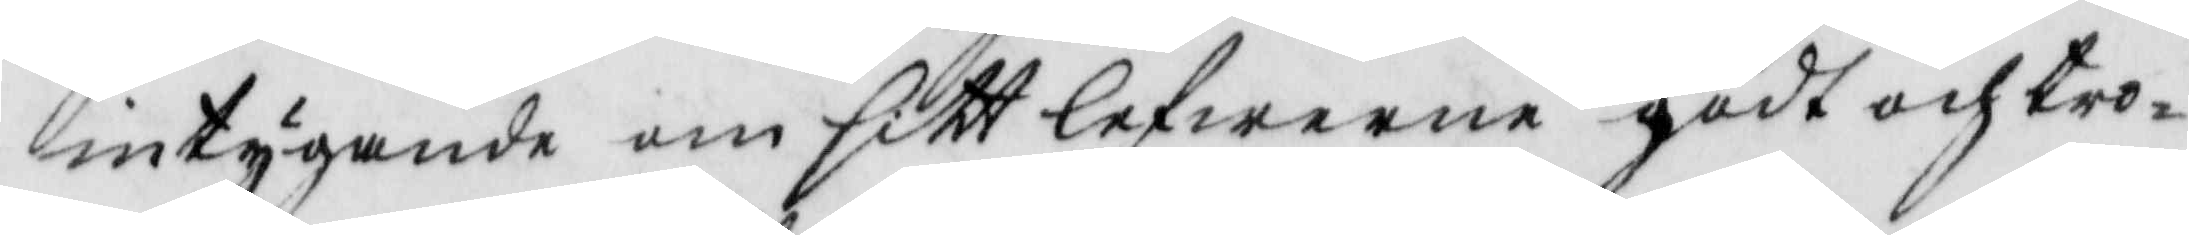intygande om sitt lefwerne godt och tro¬
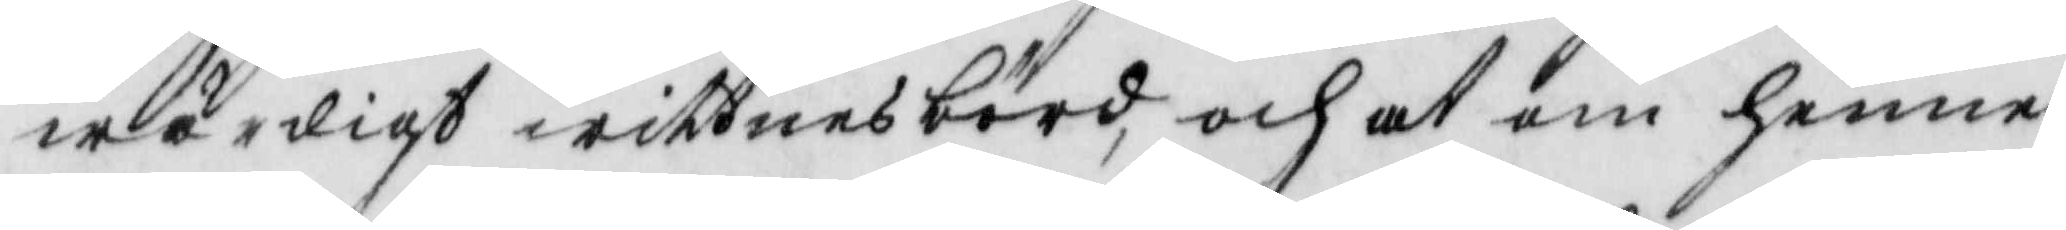wärdigt wittnesbörd, och at om henne
